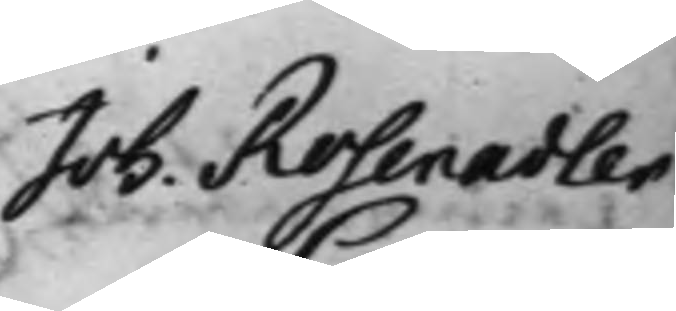Joh. Rosenadler
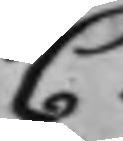C:
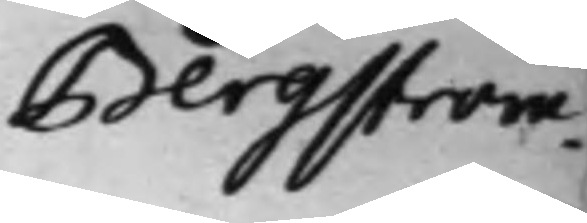Bergström.
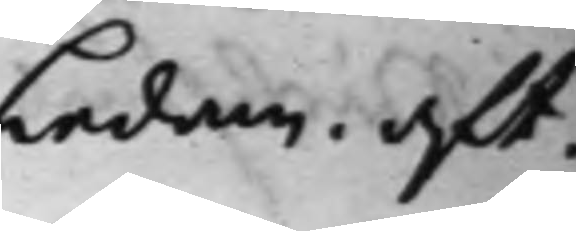Ledam. aft.
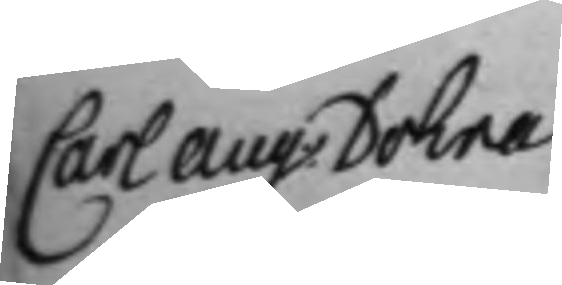Carl Aug. Dohna
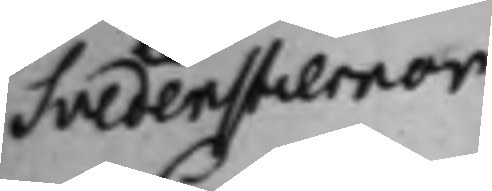Svedenstiernor
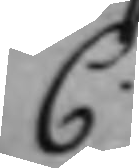C.
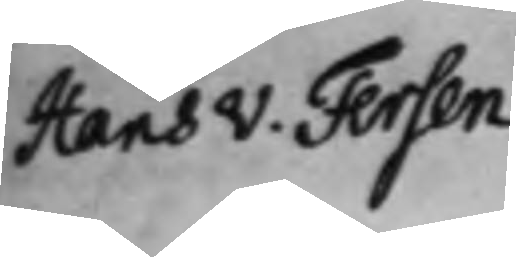Hans v. Fersen.
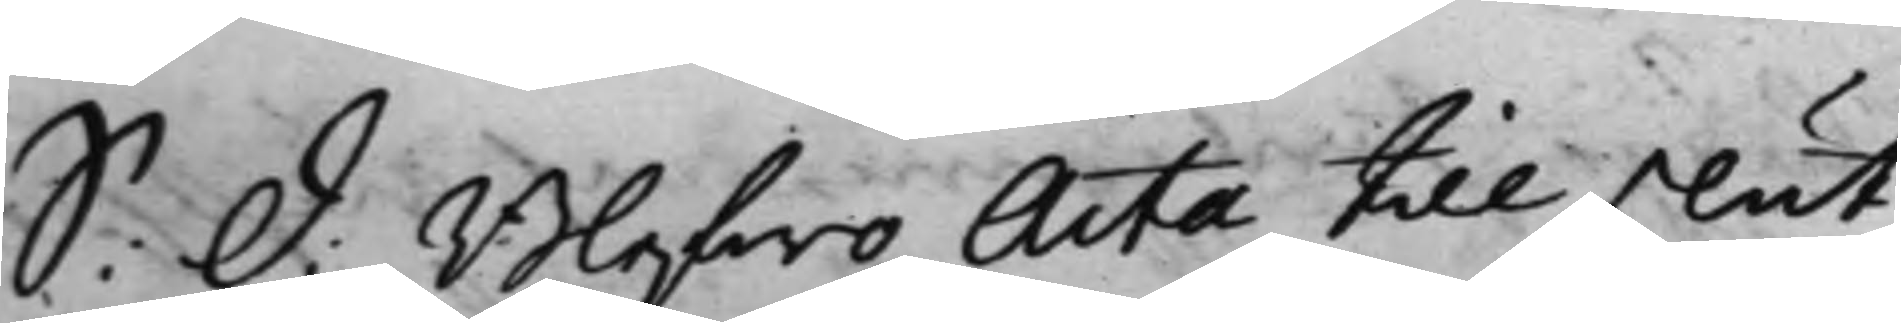S: d: Blefwo Acta till slut
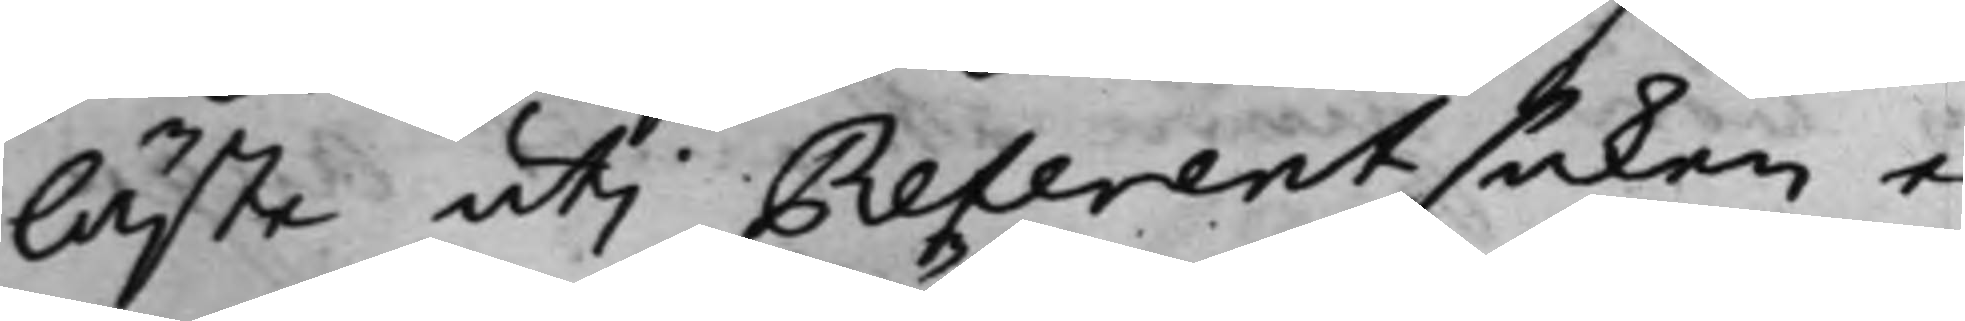läste uti Referentsaken e¬
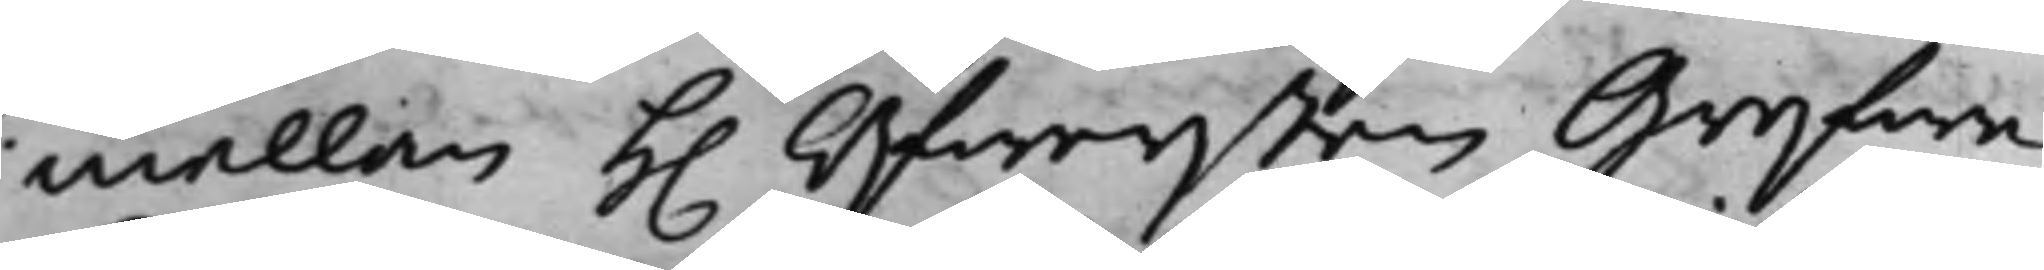mellan h. Öfwersten Grefwe
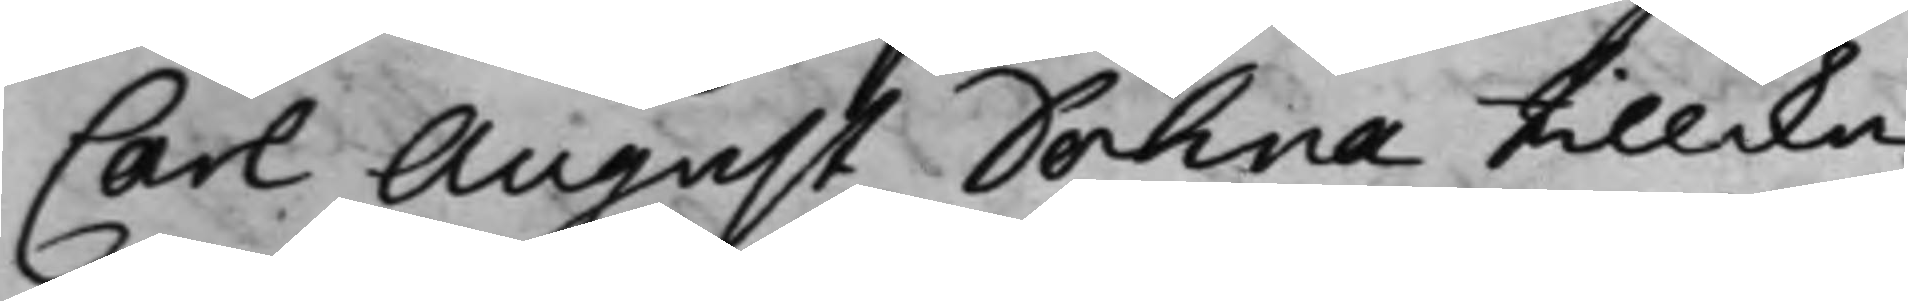Carl August Dohna tillika
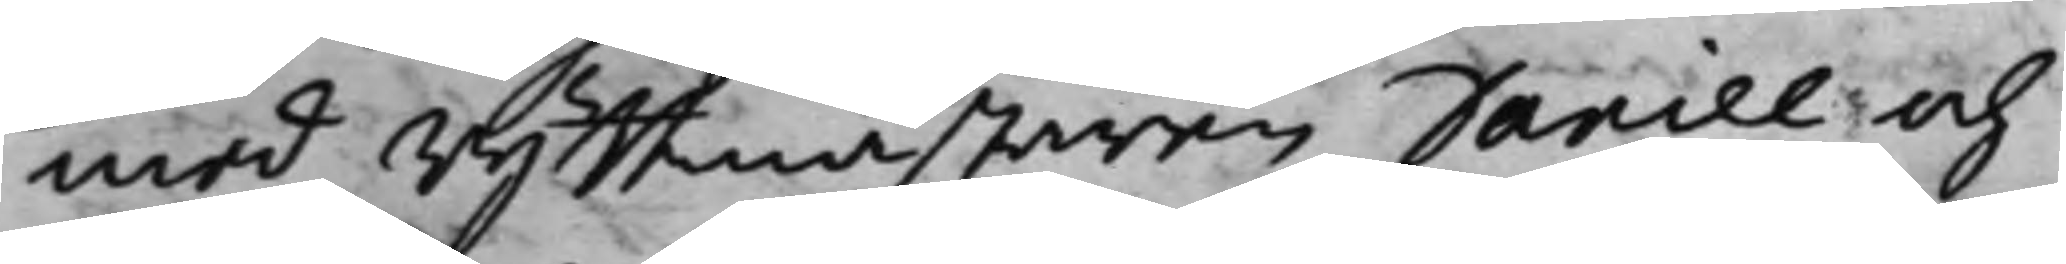med Ryttmästaren Daniel och
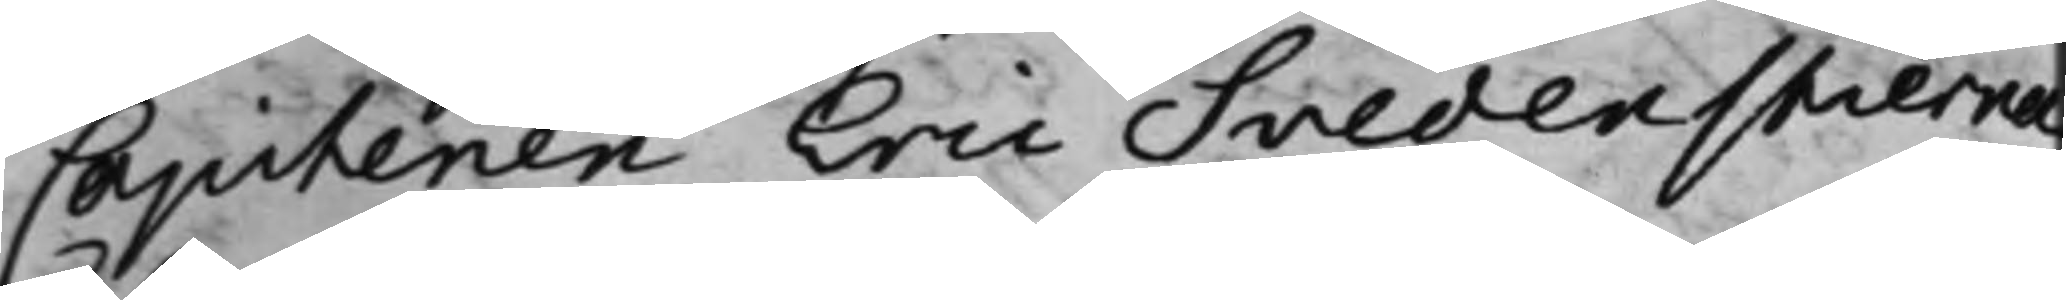Capitenen Eric Svedenstierna
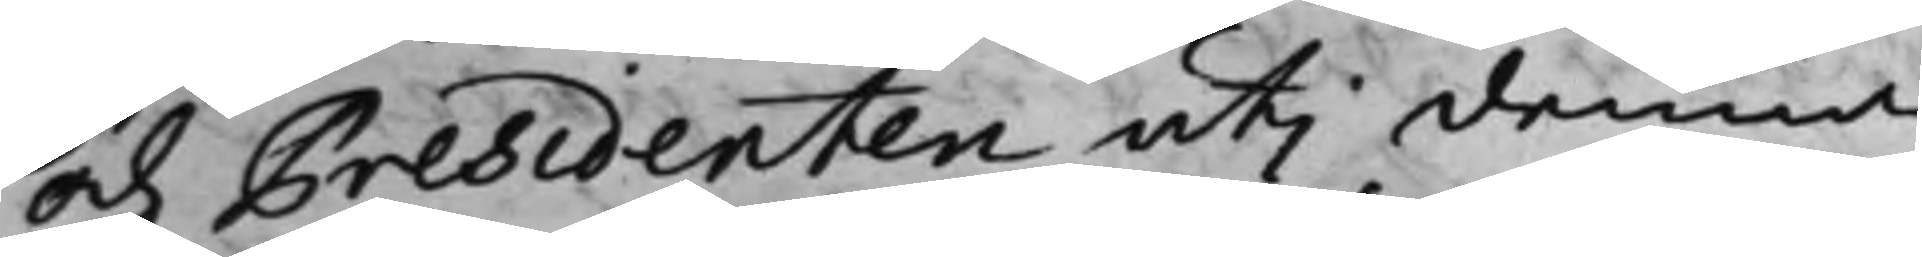och Presidenten uti denna
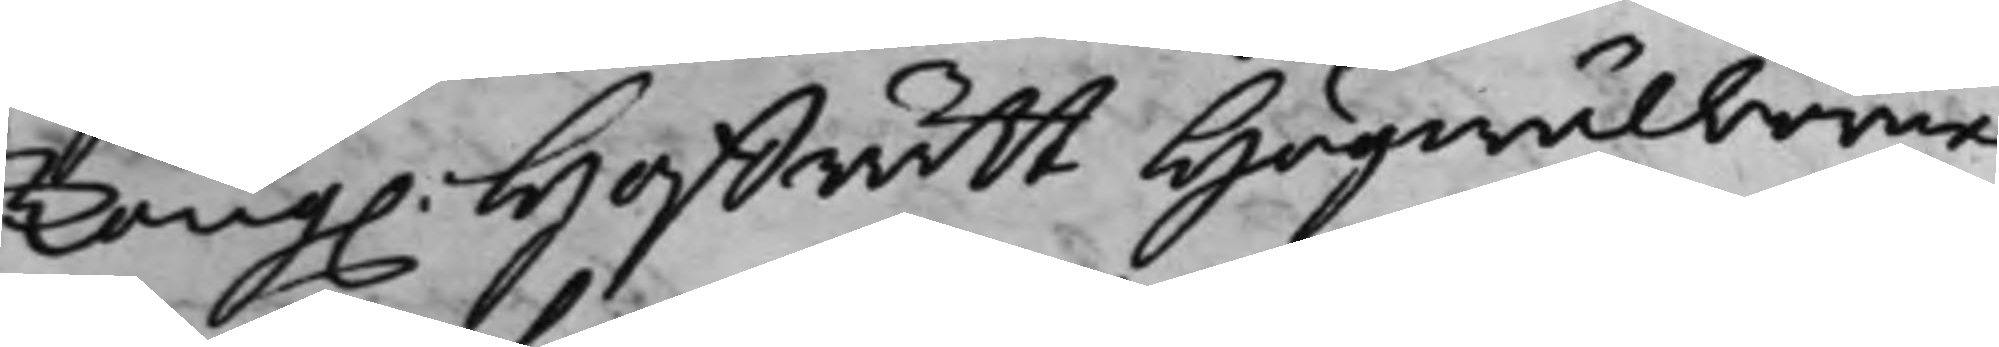Kong. Hoffrätt Högwälborne
